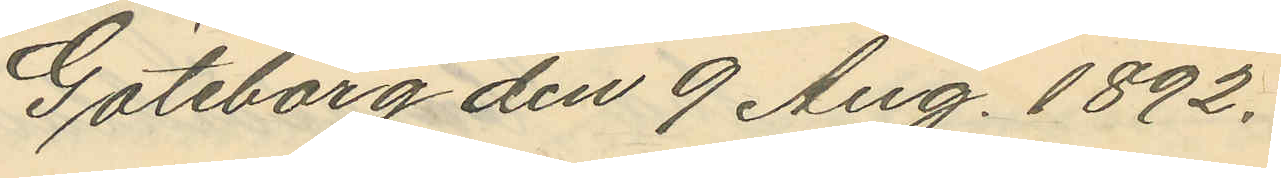Göteborg den 9 Aug. 1892.
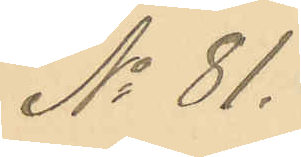No 81.
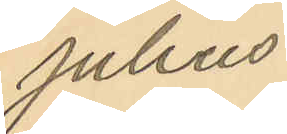Julius
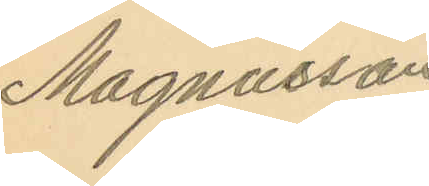Magnusson
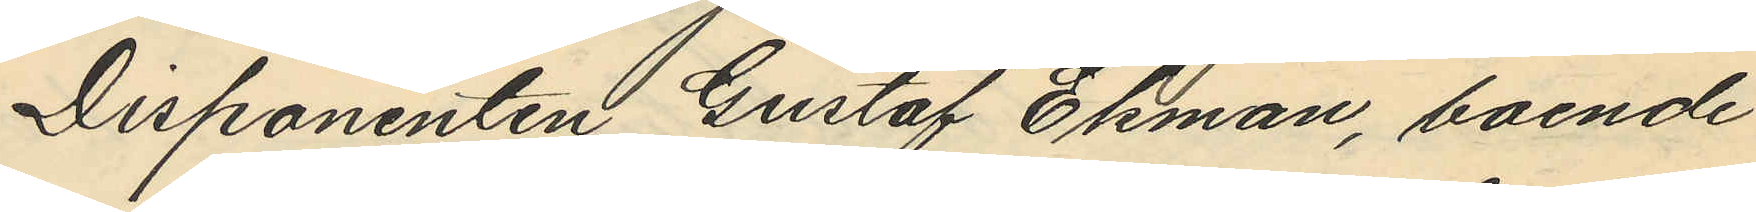Disponenten Gustaf Ekman, boende
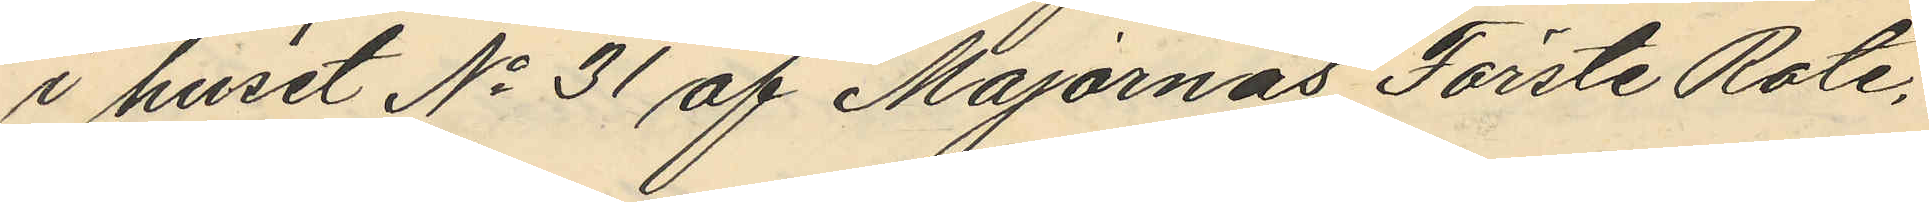i huset No 31 af Majornas Förste Rote,
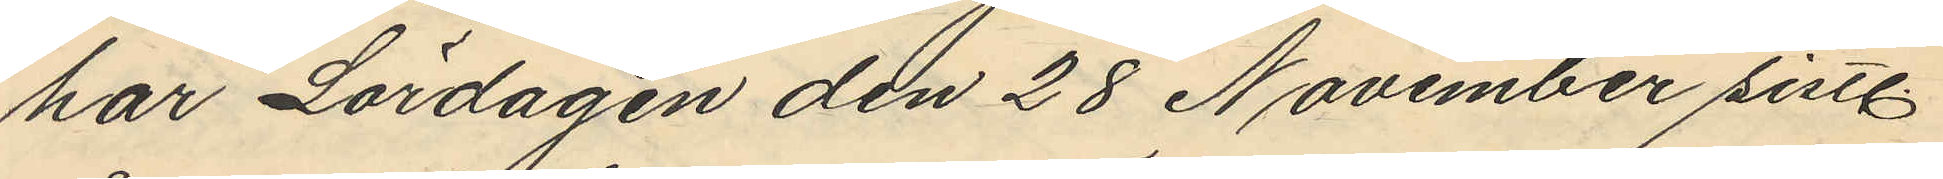har Lördagen den 28 November sistl.
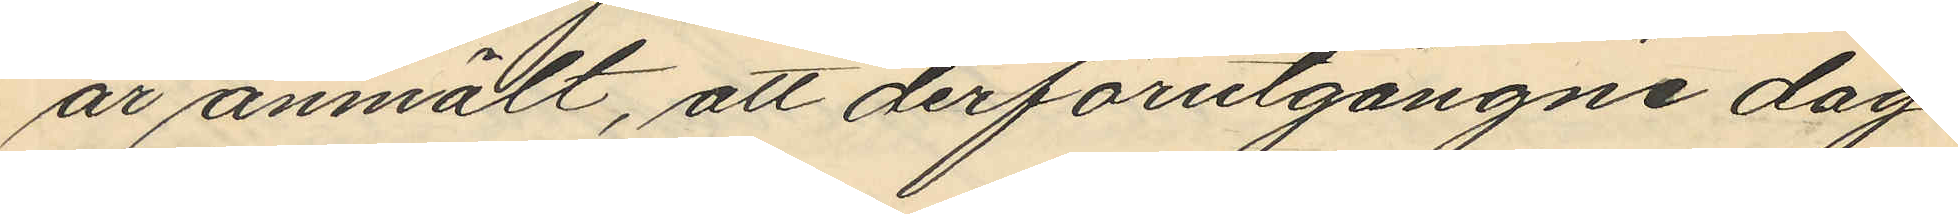år anmält, att derförutgångne dag
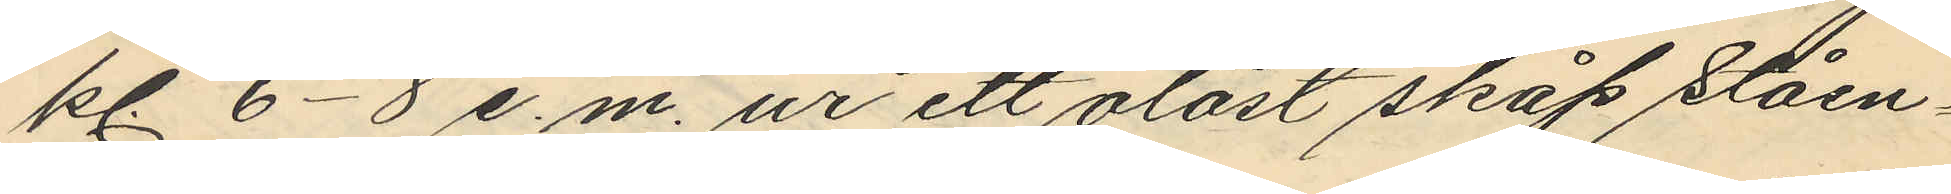kl. 6-8 e.m. ur ett olåst skåp ståen¬
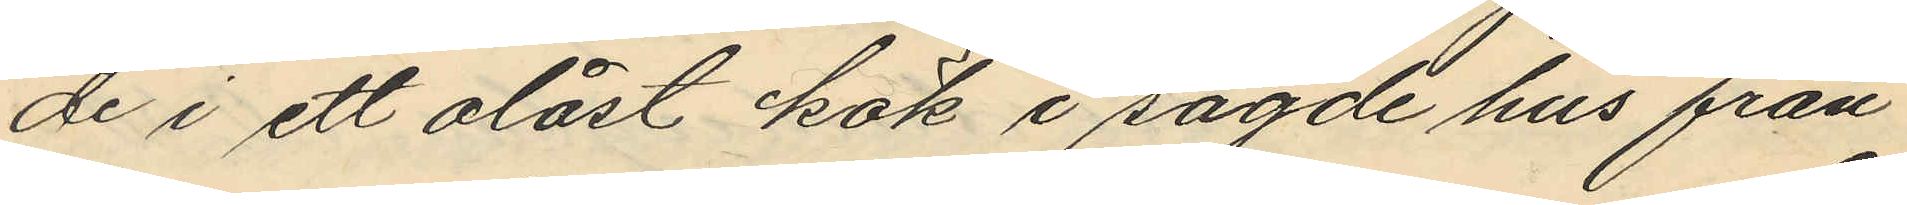de i ett olåst kök i sagde hus från
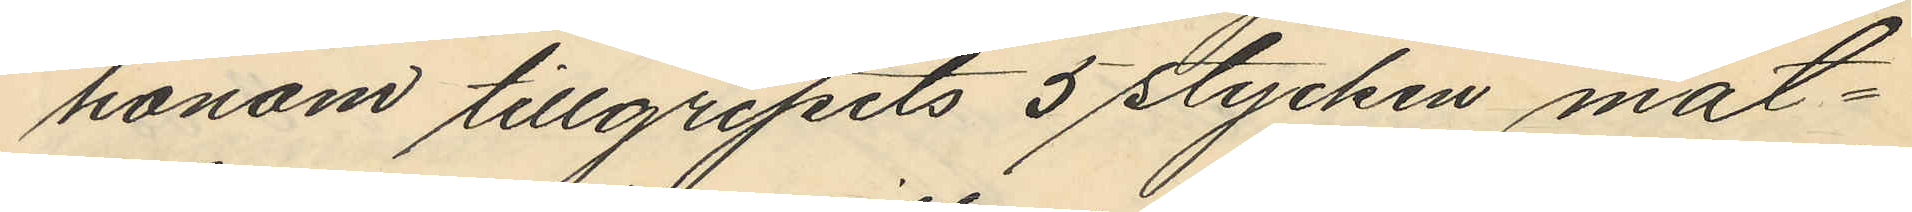honom tillgripits 5 stycken mat¬
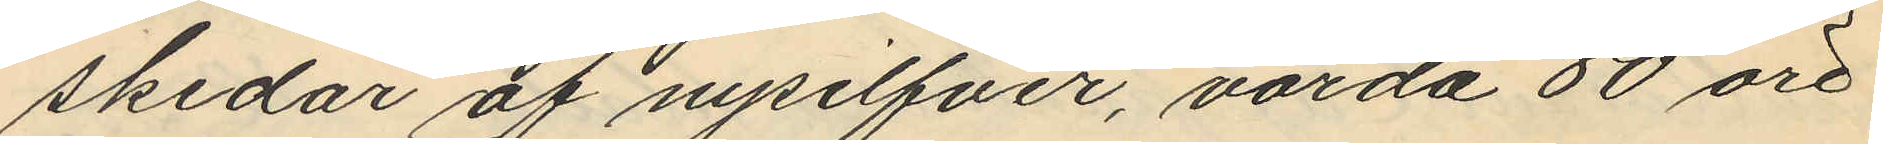skedar af nysilfver, värda 80 öre
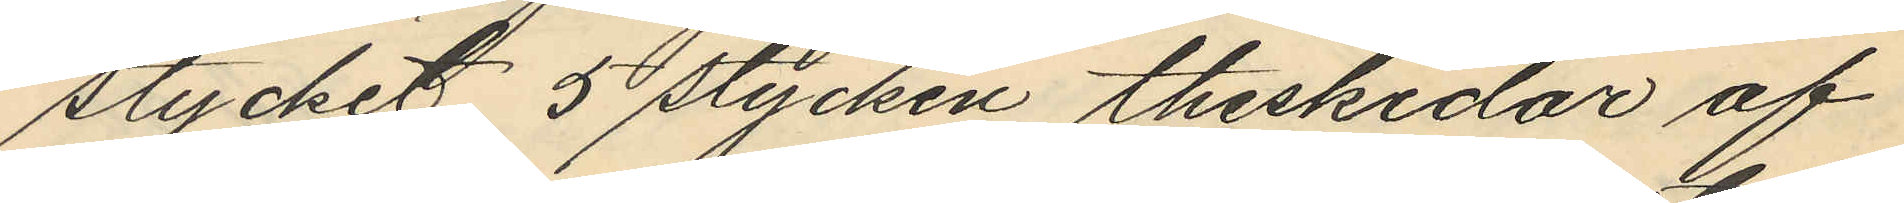stycket 5 stycken theskedar af
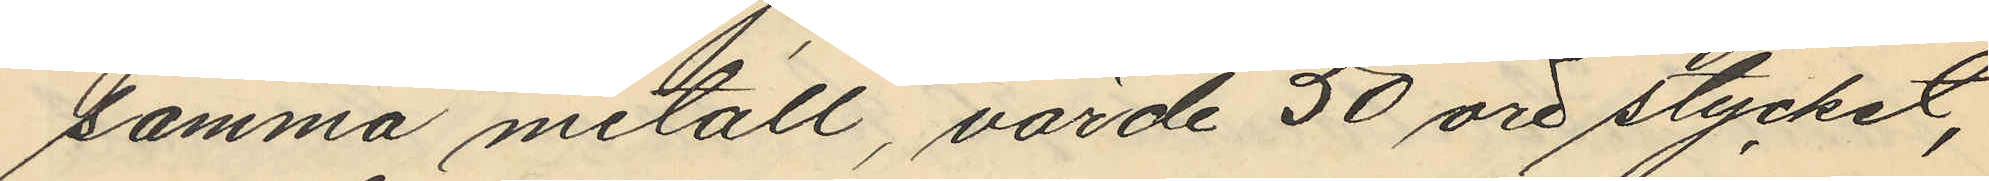samma metall, värde 50 öre stycket,
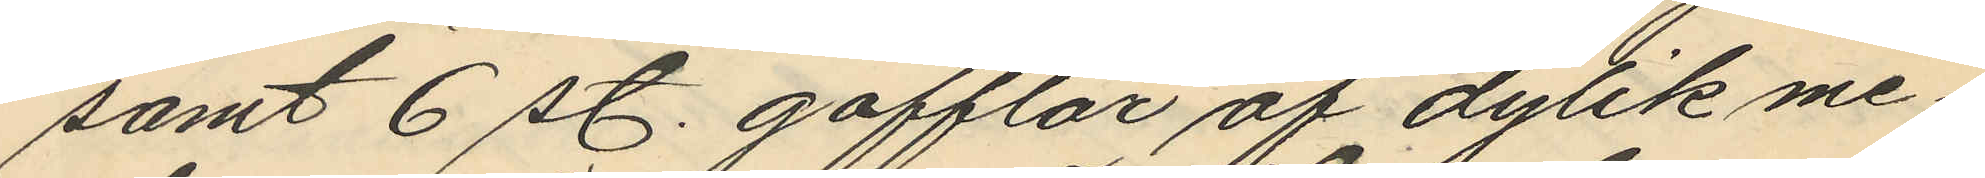samt 6 st. gafflar af dylik me¬
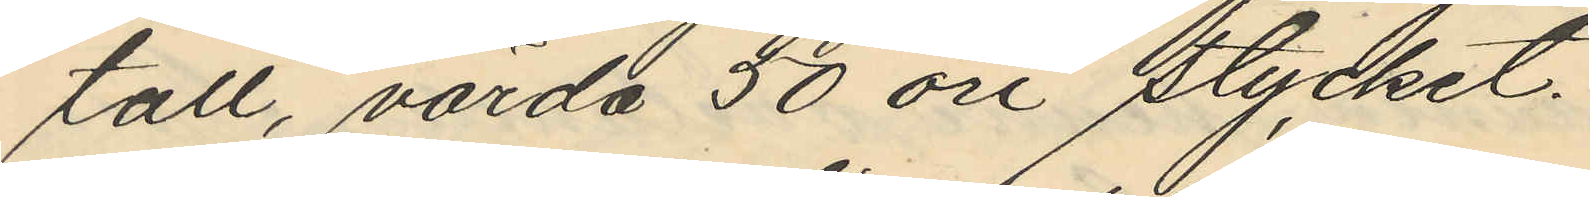tall, värda 50 öre stycket.
